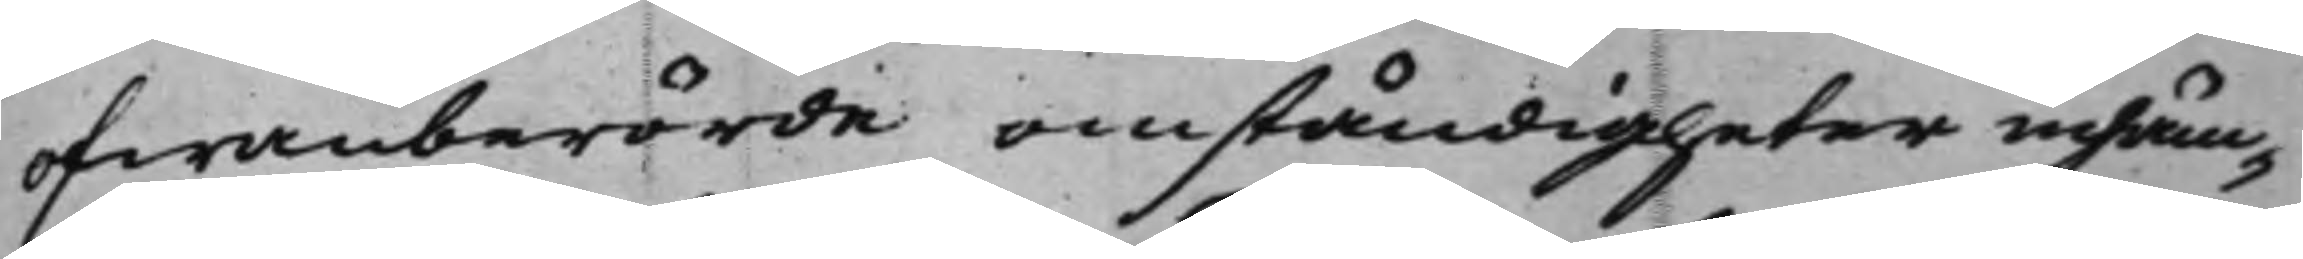ofwanberörde omständigheter inhäm¬
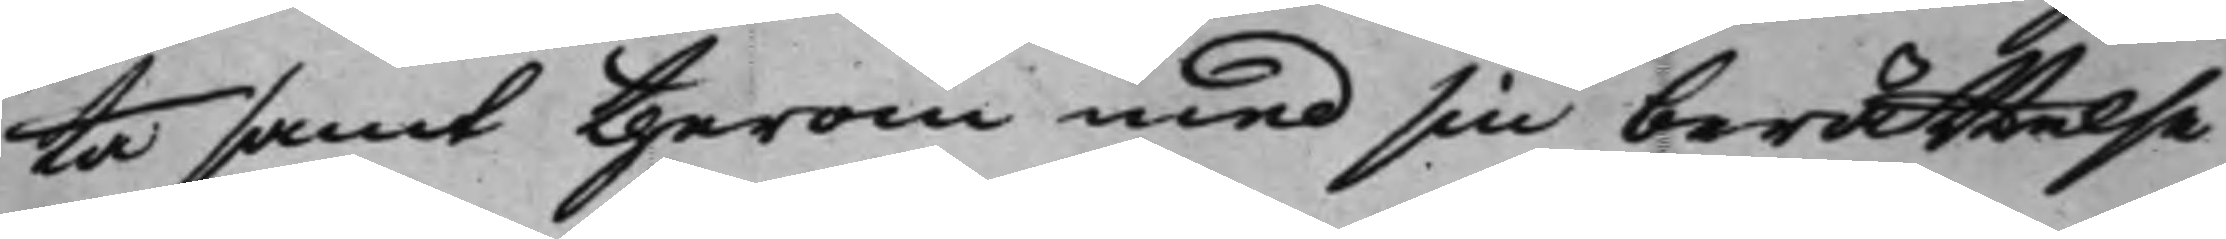ta samt therom med sin berättelse
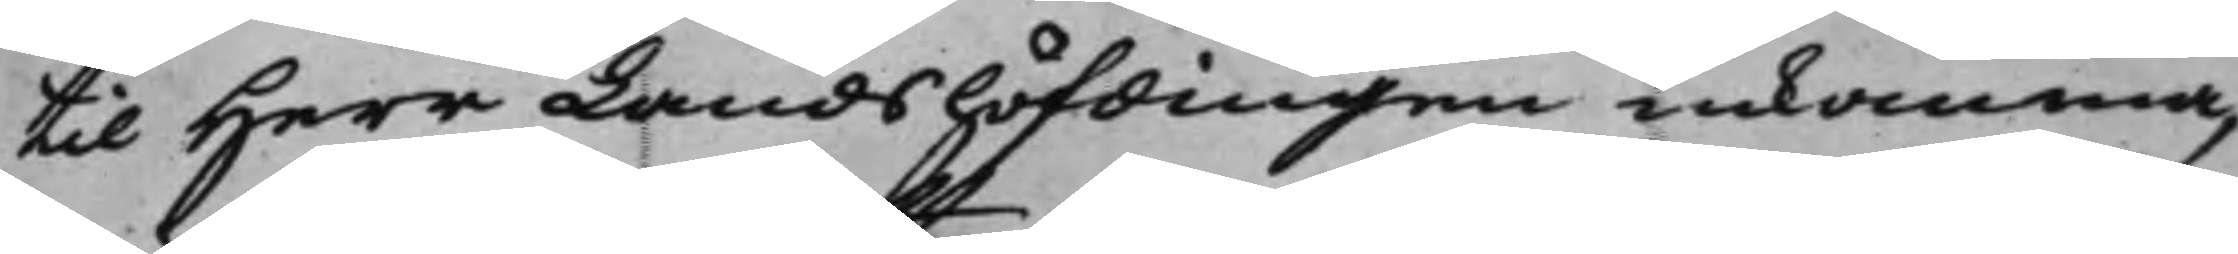til Herr Landshöfdingen inkomma,
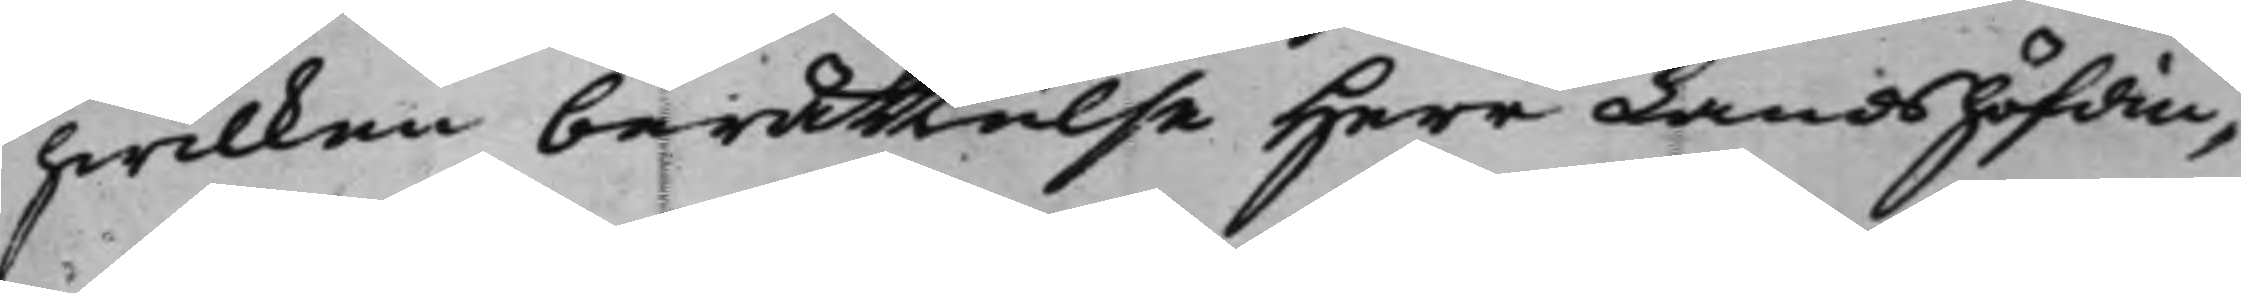hwilken berättelse Herr Landshöfdin¬
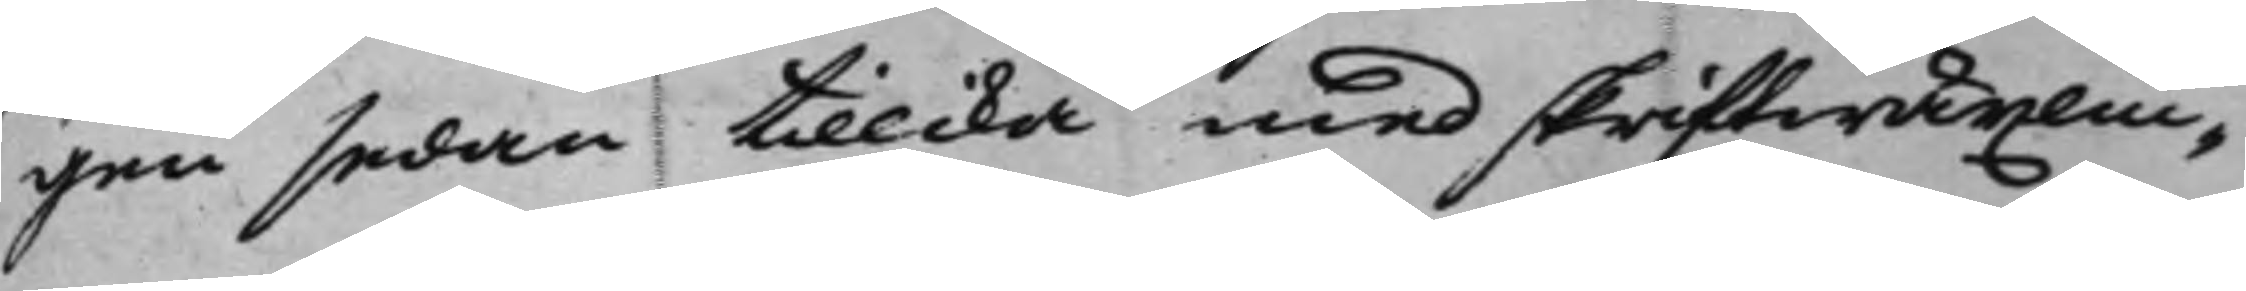gen sedan tillika med skriftwäxlin¬
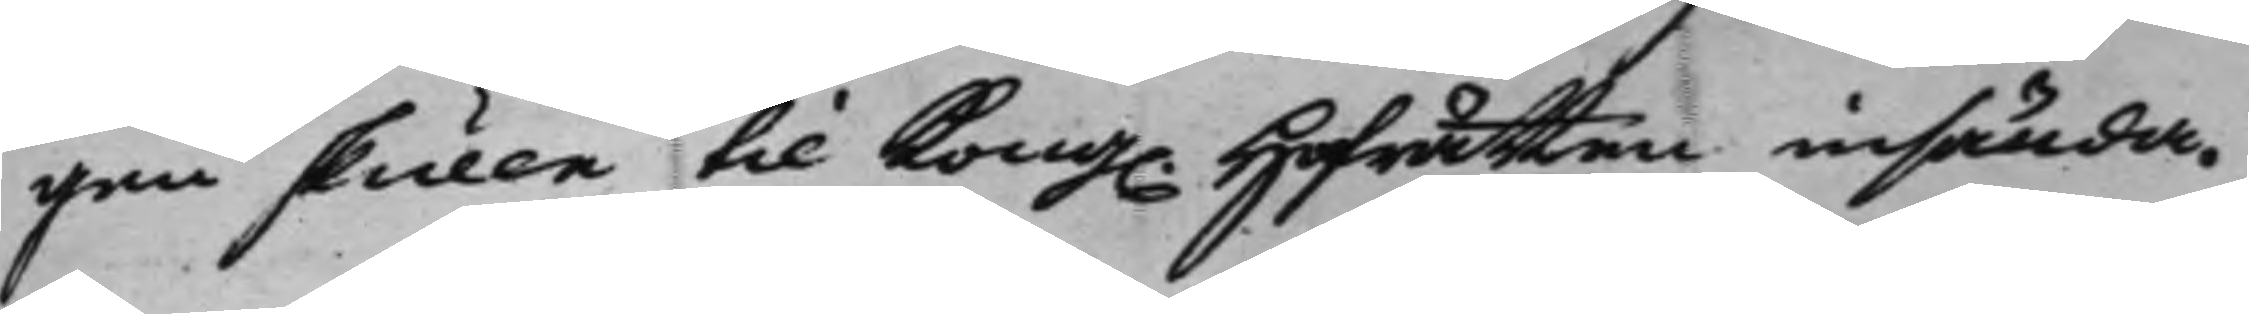gen skulle til Kong. Hofrätten insända.
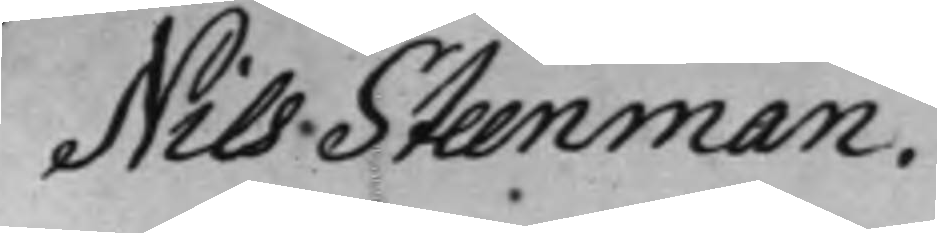Nils Steenman.
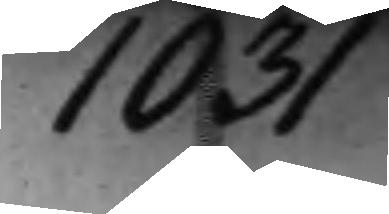1031
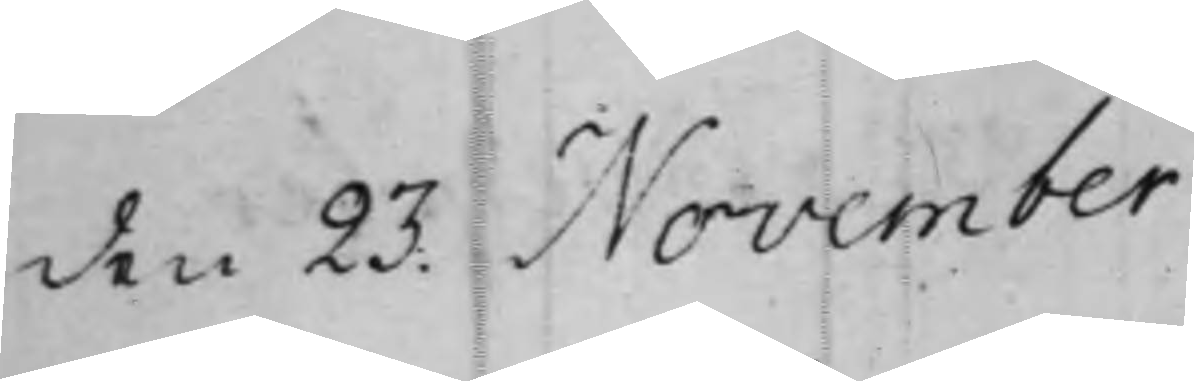den 23. November
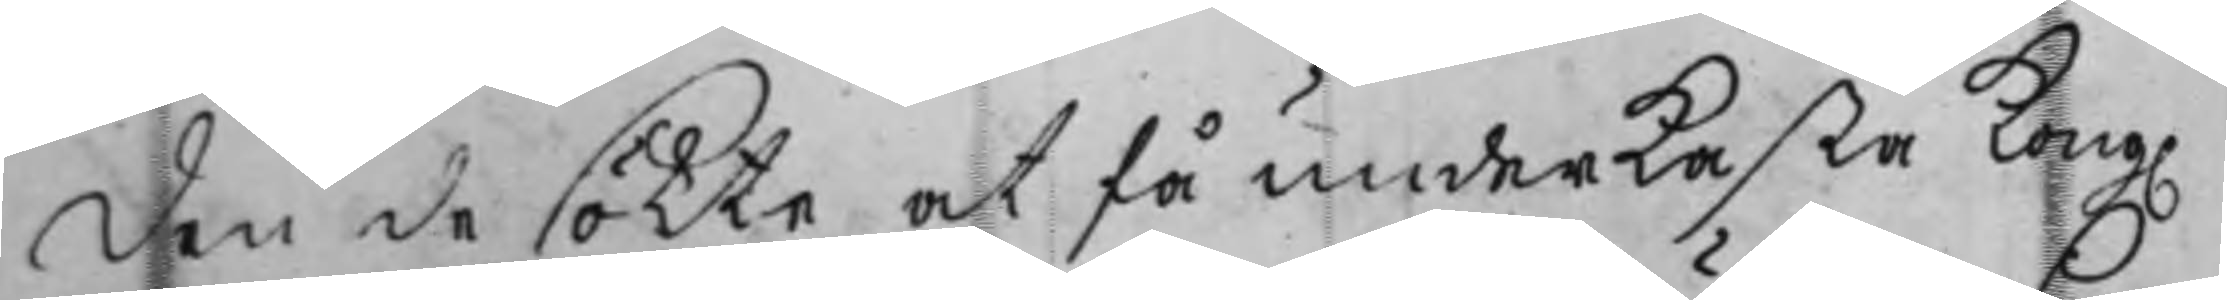den de sökte at få underkasta Kong.
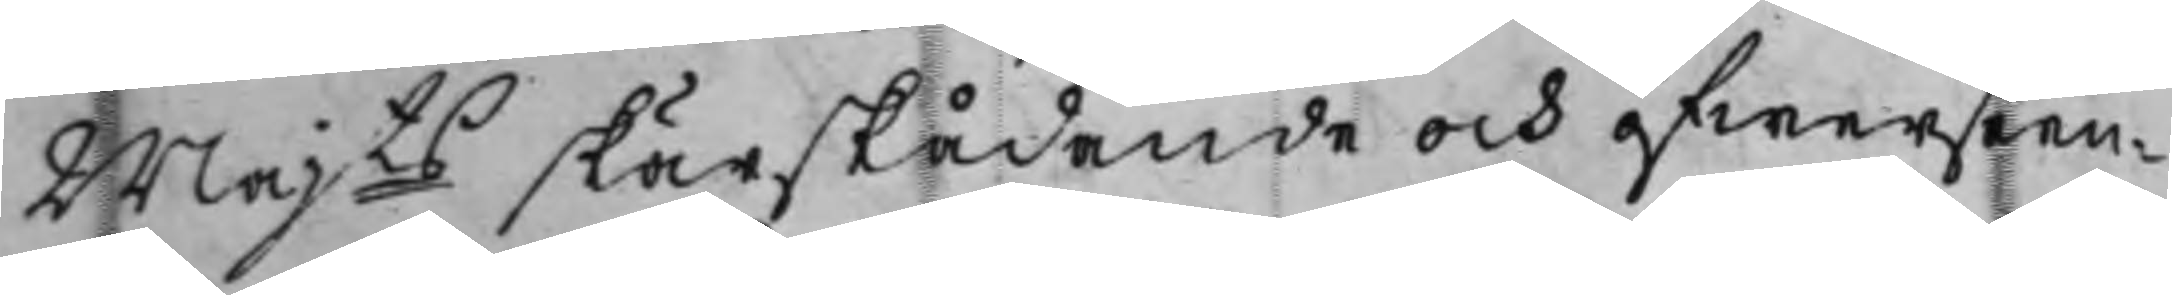Majts skärskådande och öfwerseen¬
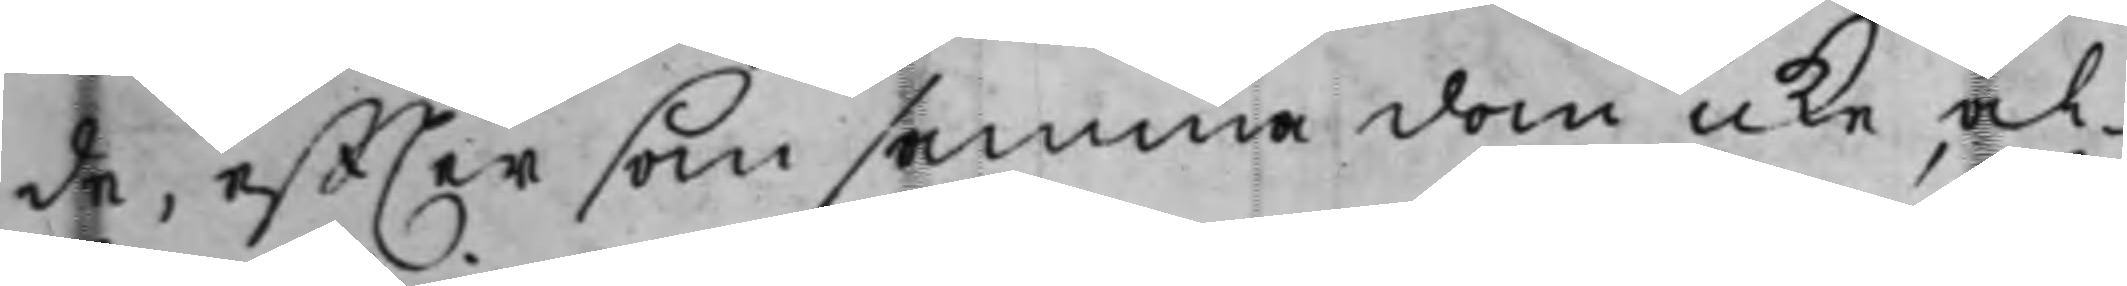de, effter som samma dom icke al¬
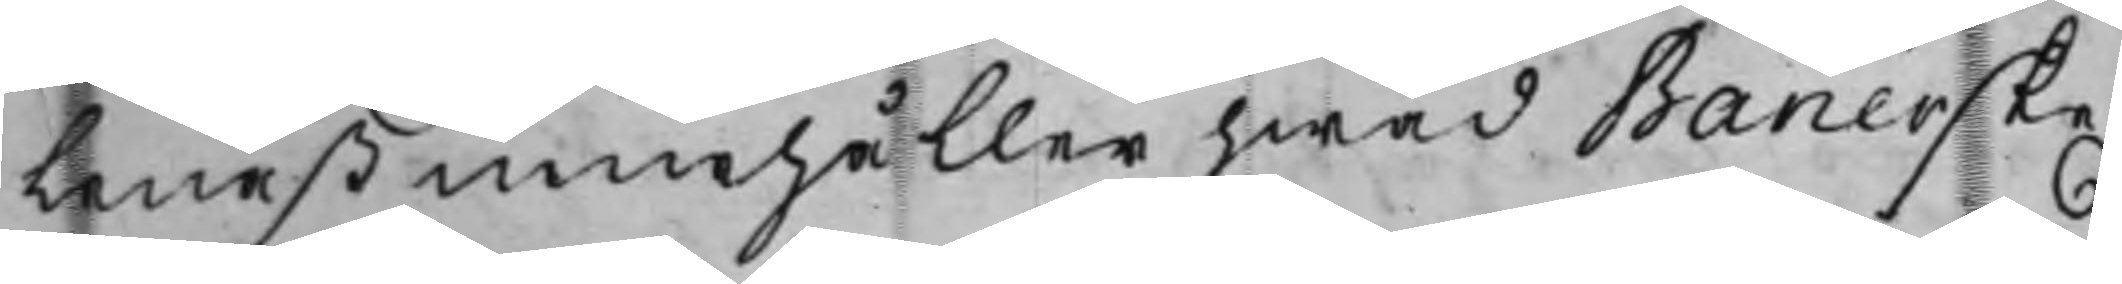lenast innehåller hwad Banérske
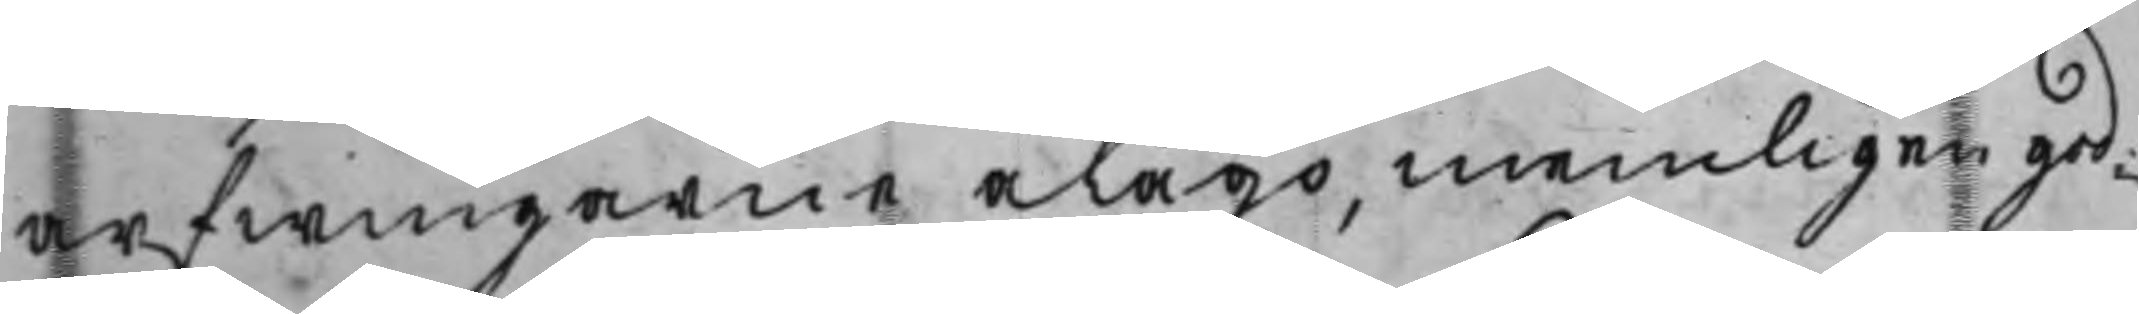arfwingarne ålågo, nemligen god¬
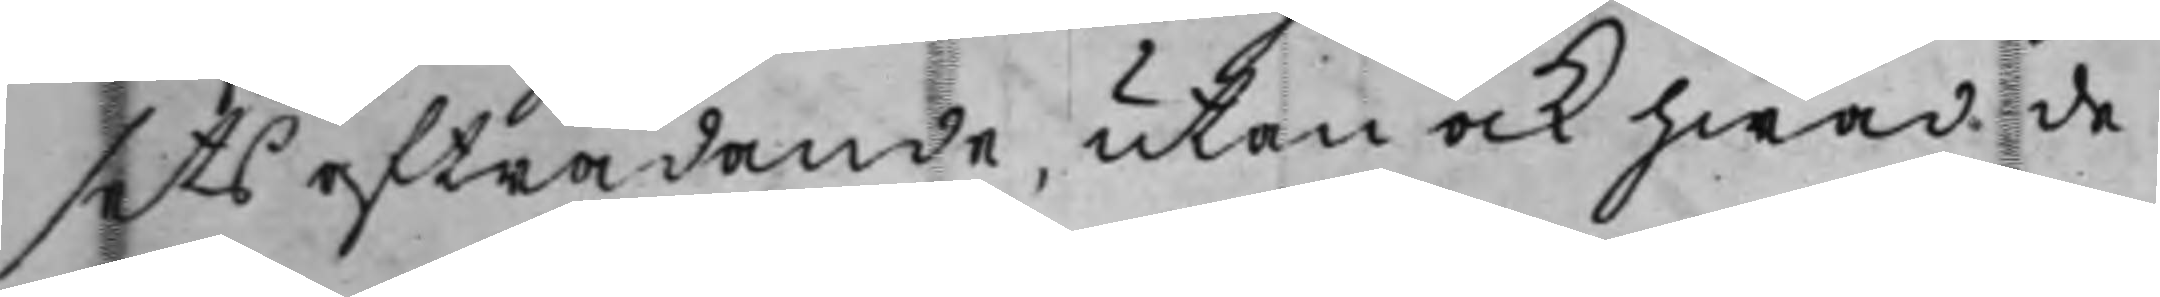sets afträdande, utan ock hwad de
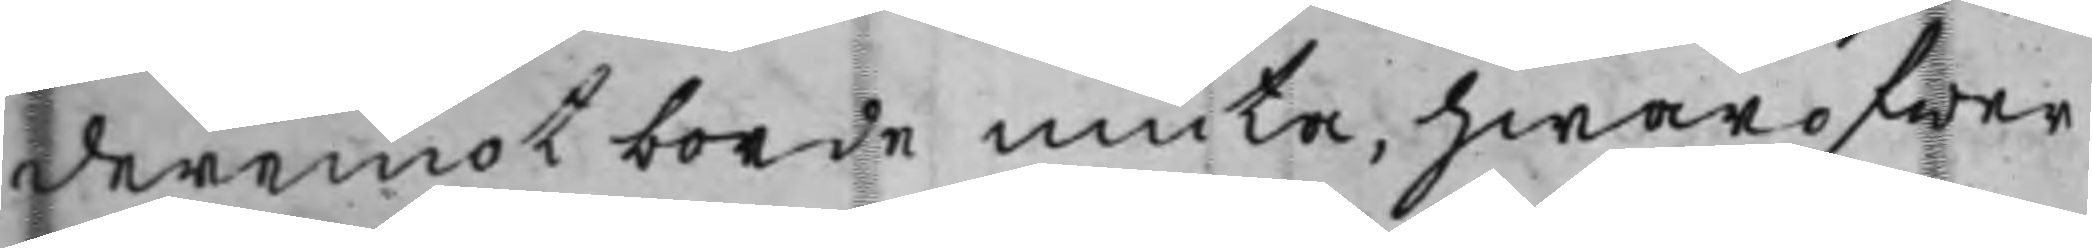deremot borde niuta, hwaröfwer
